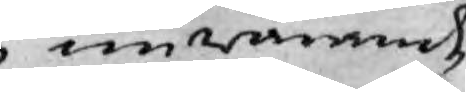nuwarande
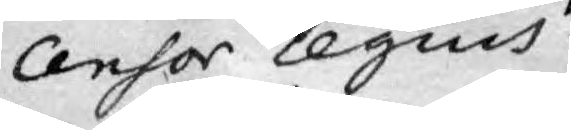Censor Regius
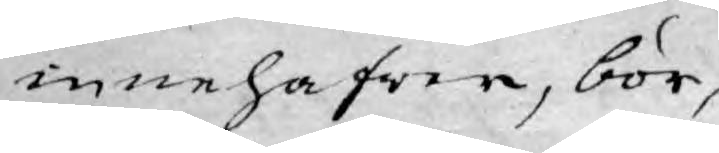innehafwer, bör,
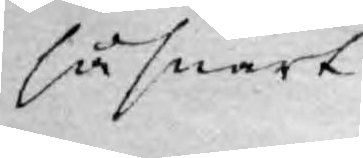så snart
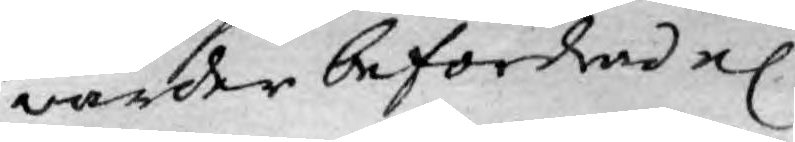warder befordrad el
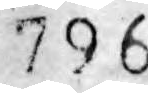796
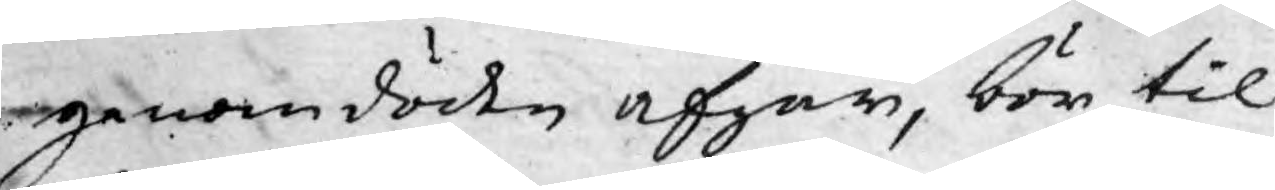igenom döden afgår, bör til
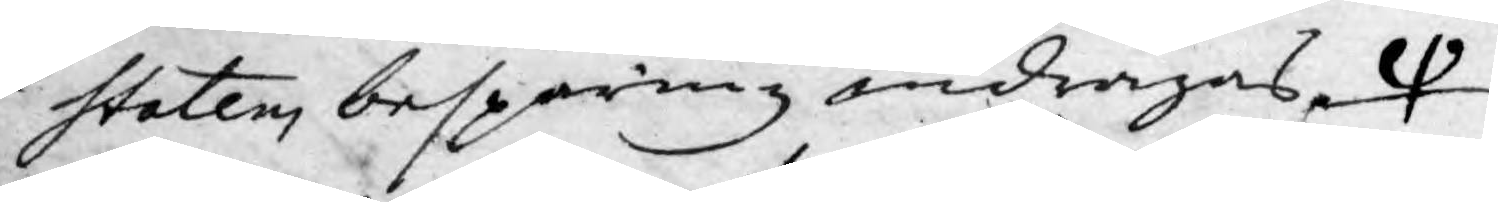staten, besparing indragas, 
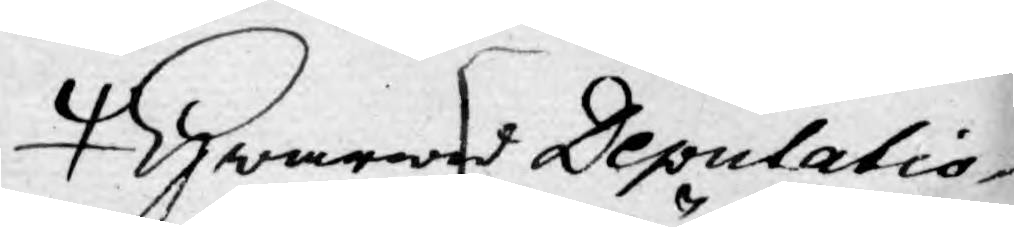Hwarwid Deputatio¬
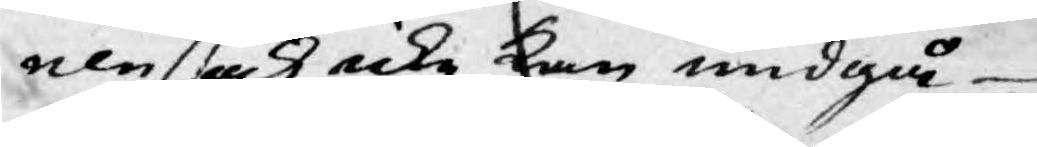nen ock icke kan undgå
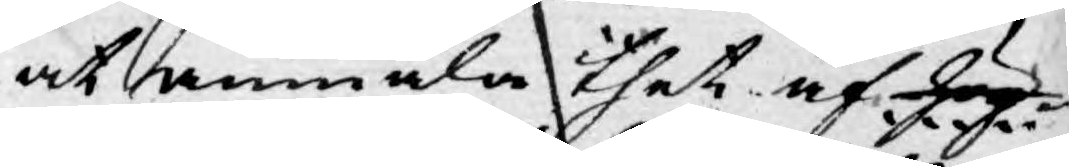at anmäla thet af hög¬
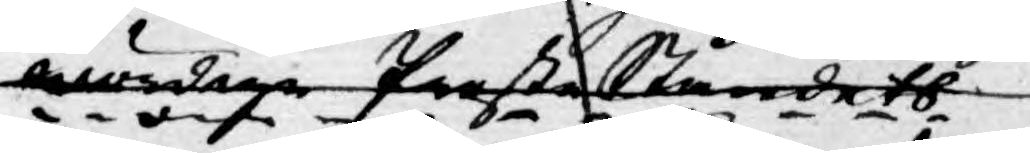wärdige Prestetåndets
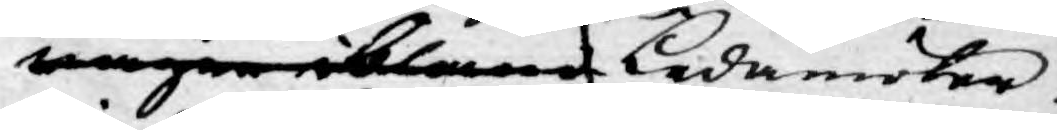wägnar bland Ledamöter.
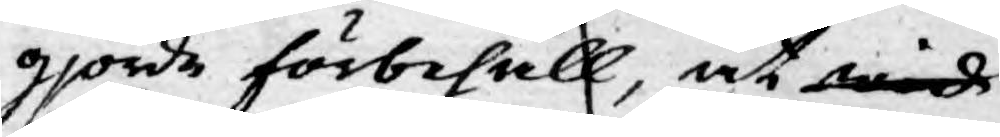gjorde förbehåll, at wid
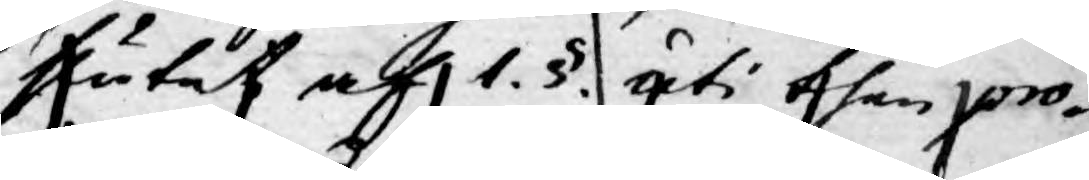slutet af 1. §. uti then pro¬
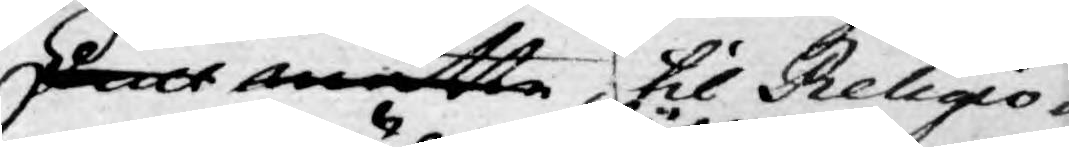Skall måtte, til Religio¬
